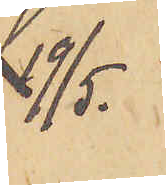19/5
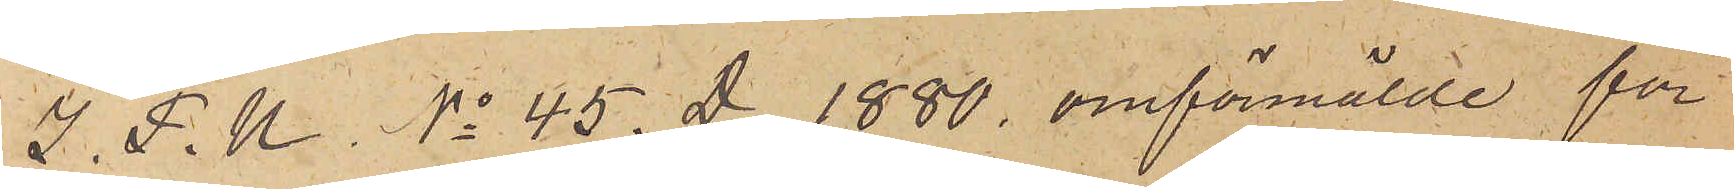I. P. U. No 45. D 1880. omförmälde för
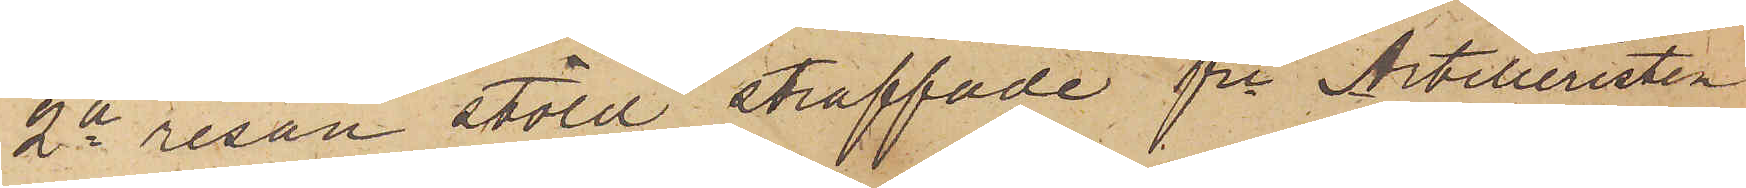2a resan stöld straffade fre Artilleristen
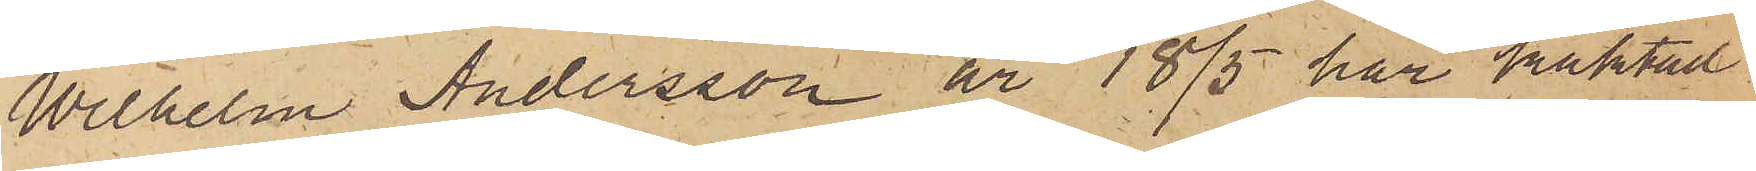Wilhelm Andersson är 18/5 här häktad
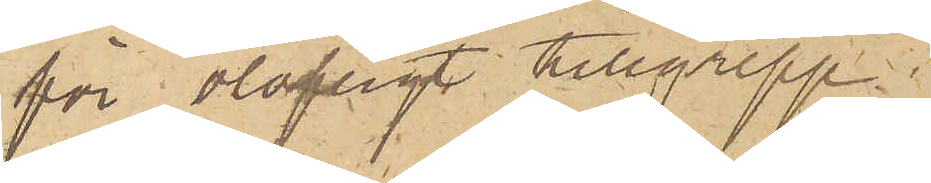för olofligt tillgrepp.
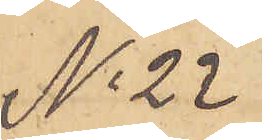No 22
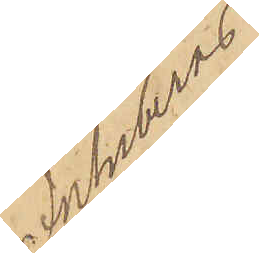Inhiberas.
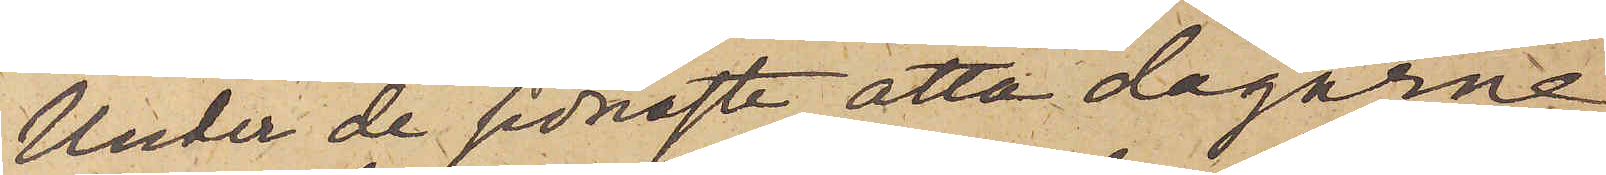Under de sednaste åtta dagarne
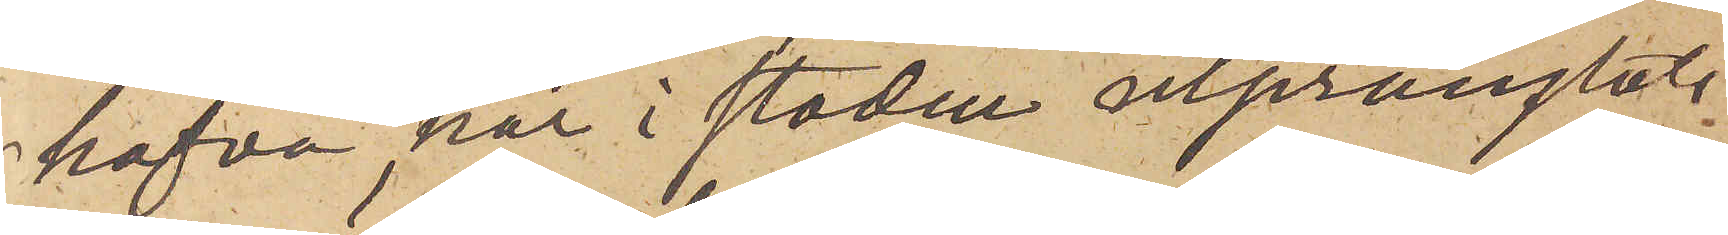hafva här i staden utprånglats
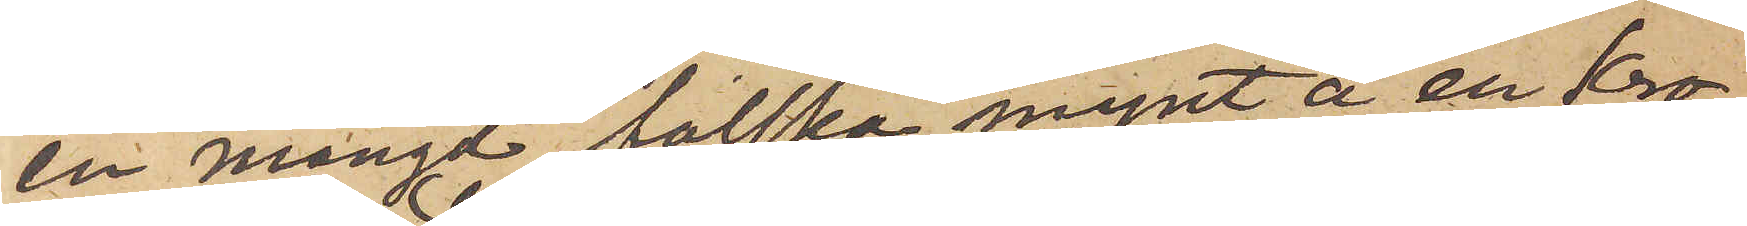en mängd falska mynt å en kro¬
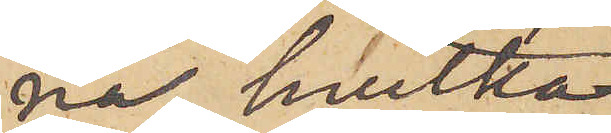na, hvilka
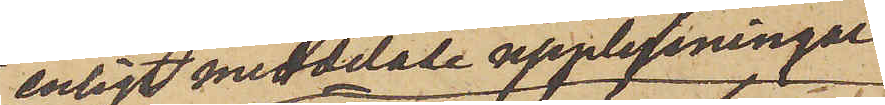enligt meddelade upplysningar
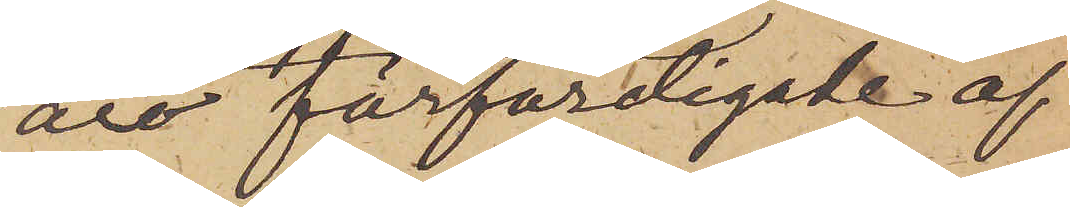äro förfärdigade af
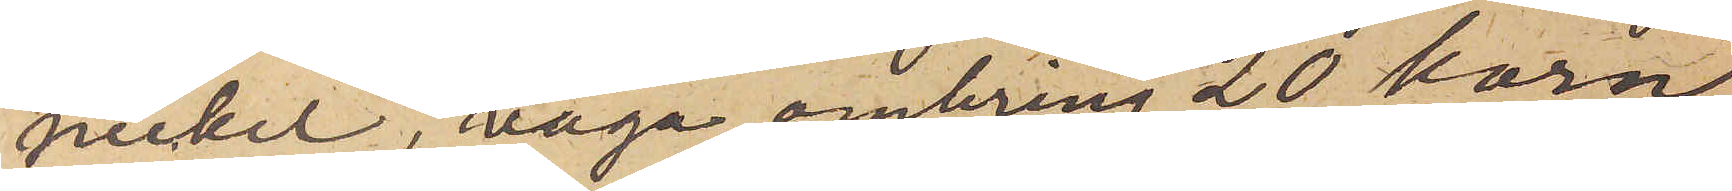nickel, väga omkring 20 korn,
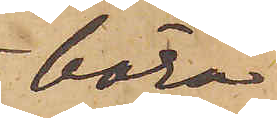bära
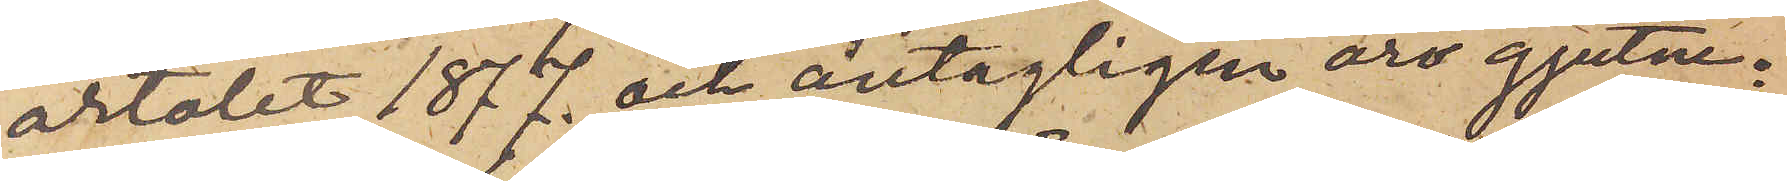årtalet 1877. och antagligen äro gjutne.
